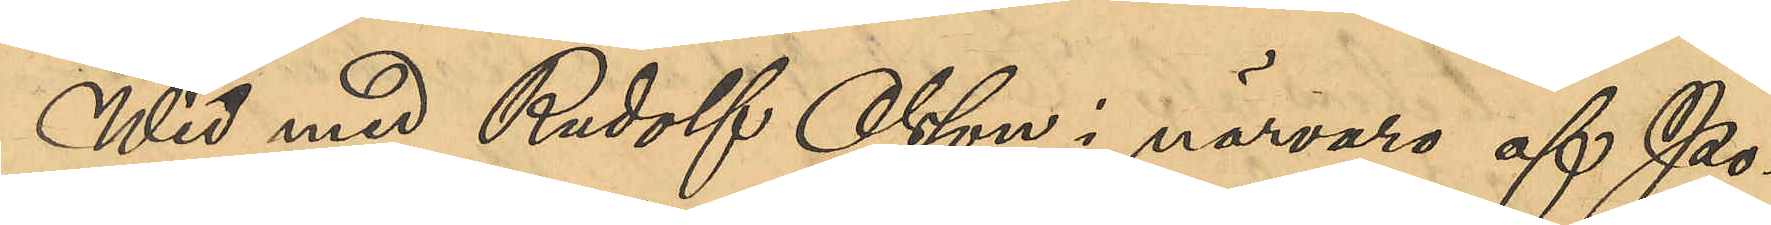Wid med Rudolf Olsson i närvaro af Po¬
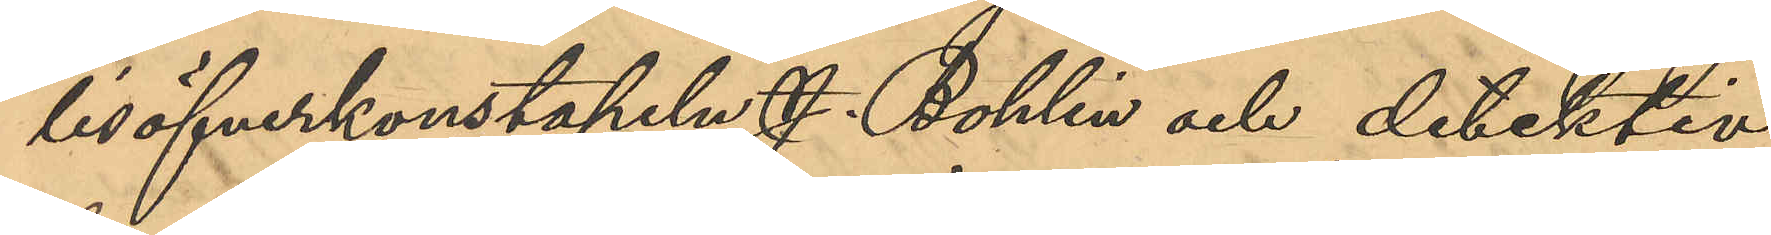lisöfverkonstapeln J. Bohlin och detektiv¬
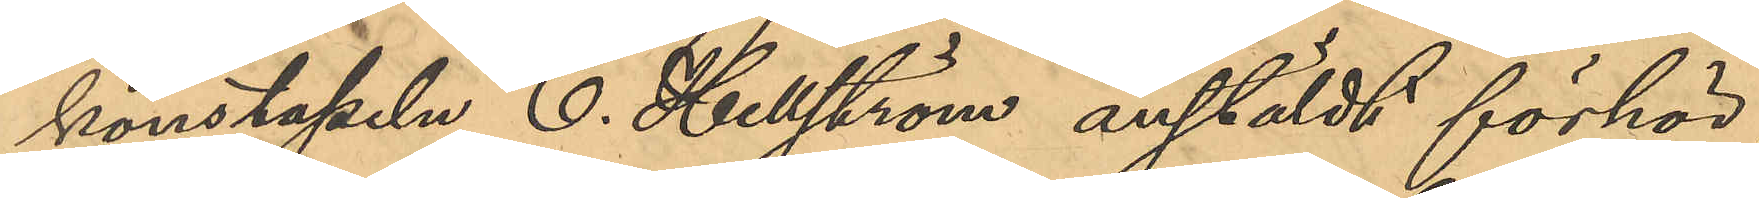konstapeln C. Hellström anstäldt förhör
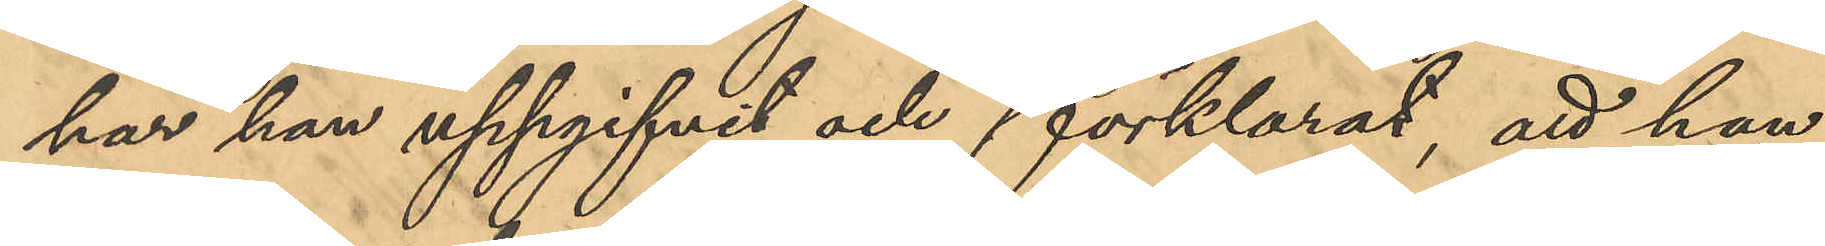har han uppgifvit och förklarat, att han
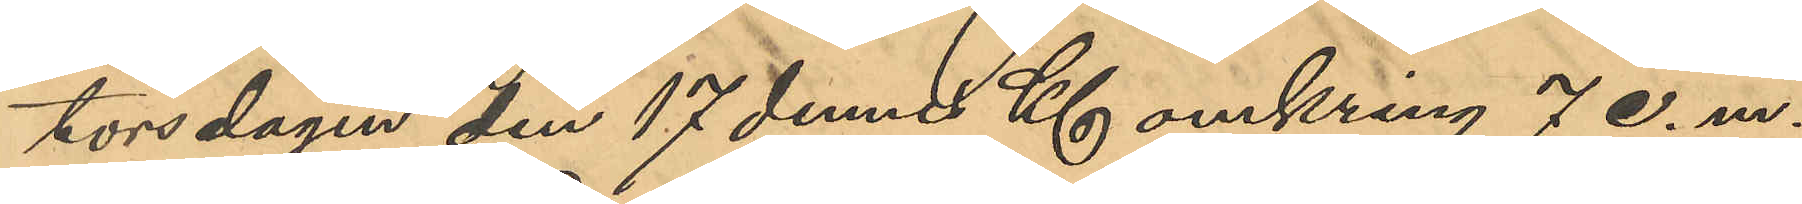torsdagen den 17 dennes Kl omkring 7 e.m.
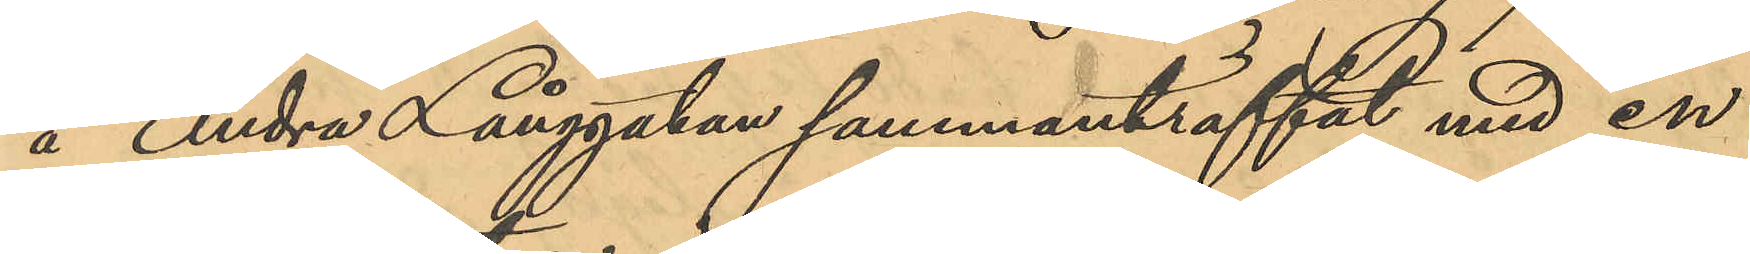å Andra Långgatan sammanträffat med en
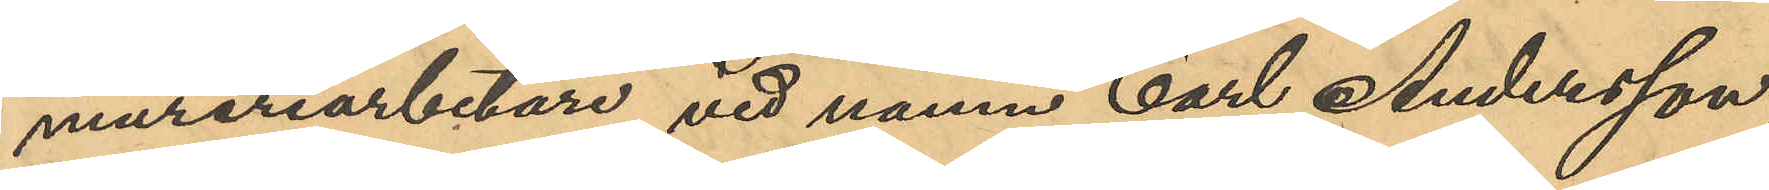mureriarbetare vid namn Carl Andersson;
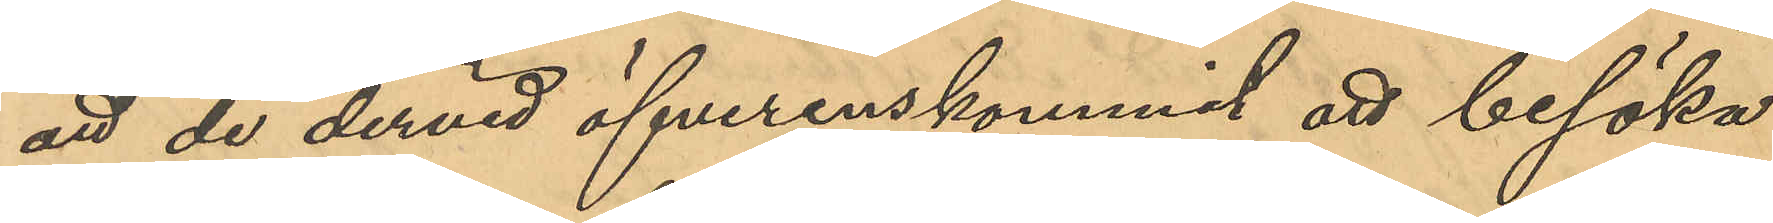att de dervid öfverenskommit att besöka
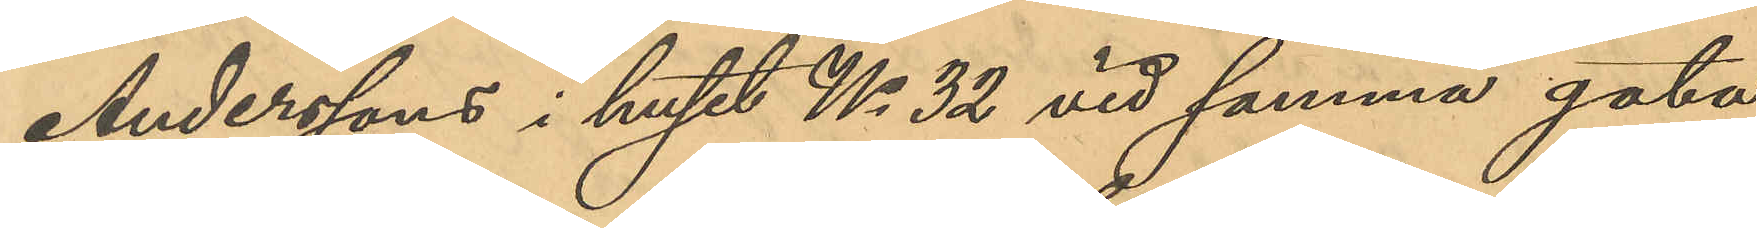Anderssons i huset No 32 vid samma gata
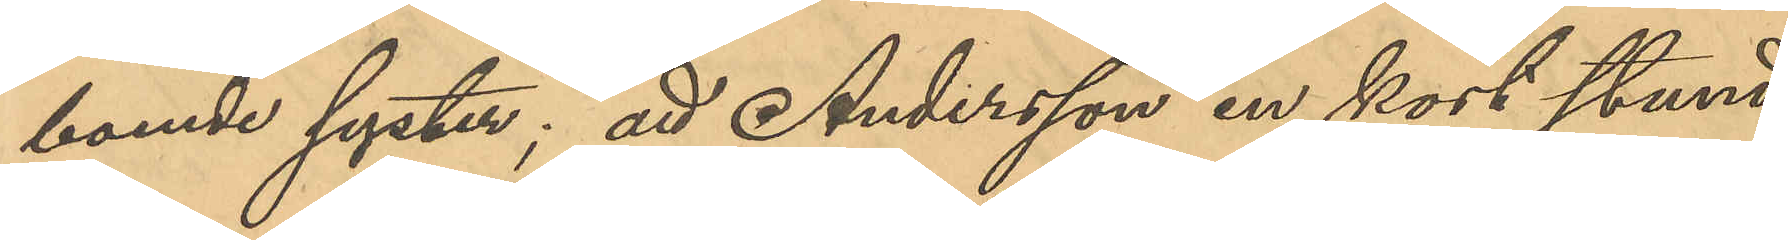boende syster; att Andersson en kort stund
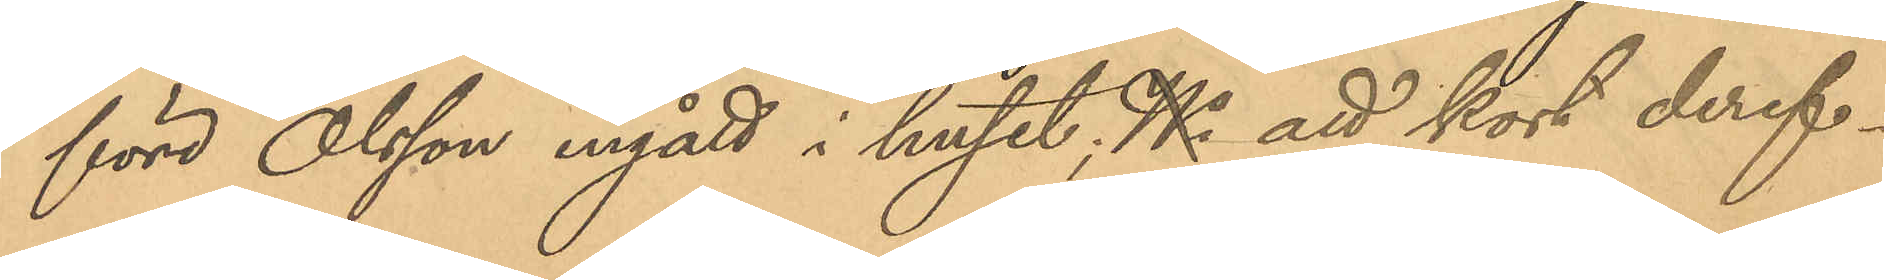före Olsson ingått i huset; No att kort deref¬
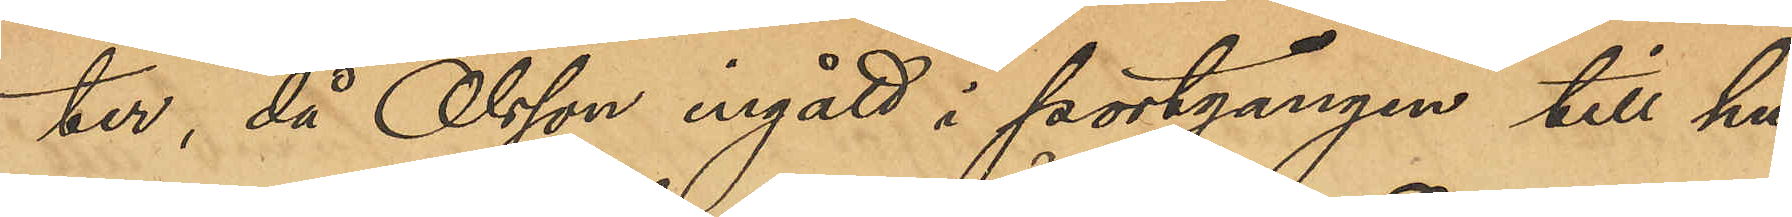ter, då Olsson ingått i portgången till hu¬
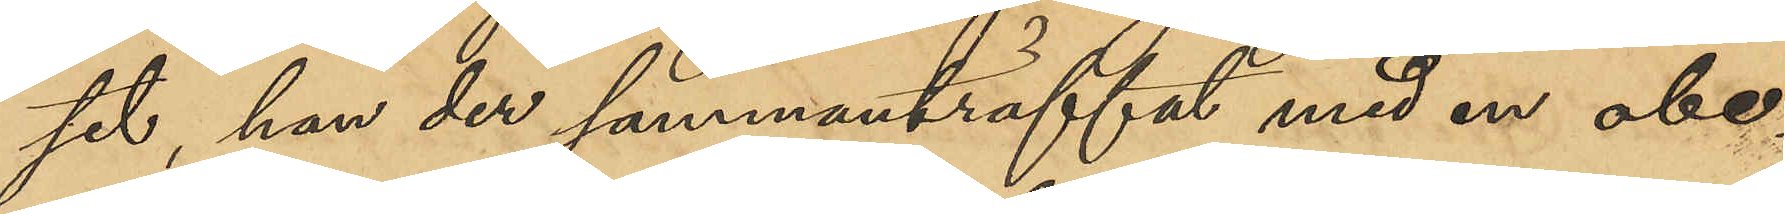set, han der sammanträffat med en obe¬
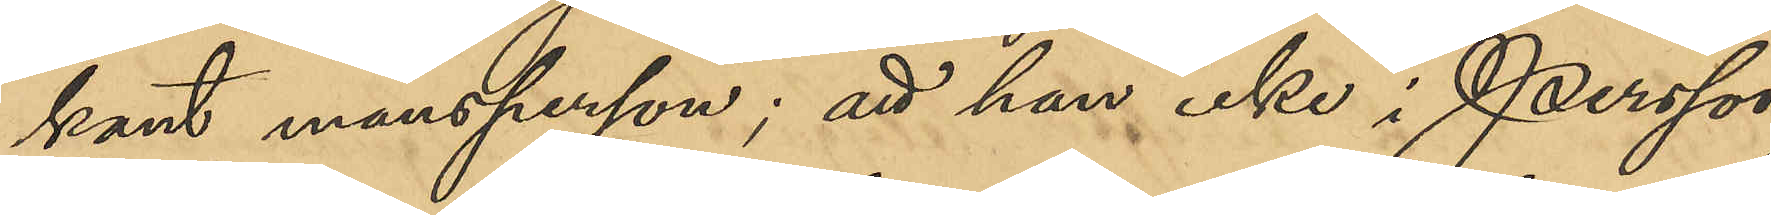kant mansperson; att han icke i Persson
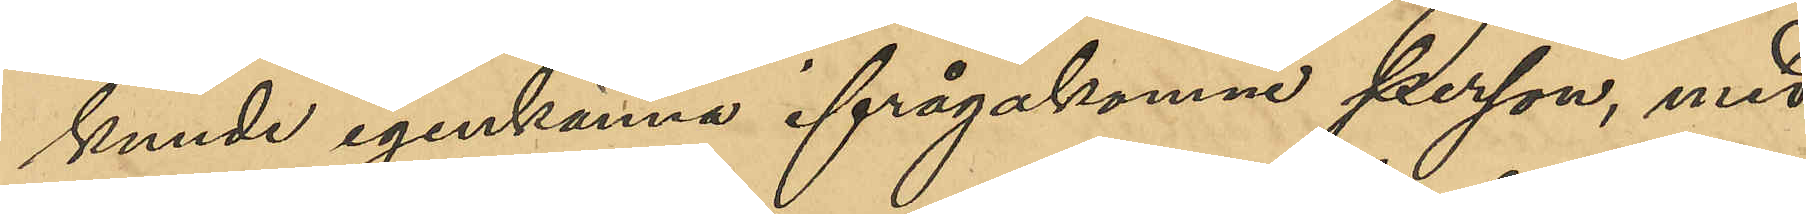kunde igenkänna ifrågakomne person, med
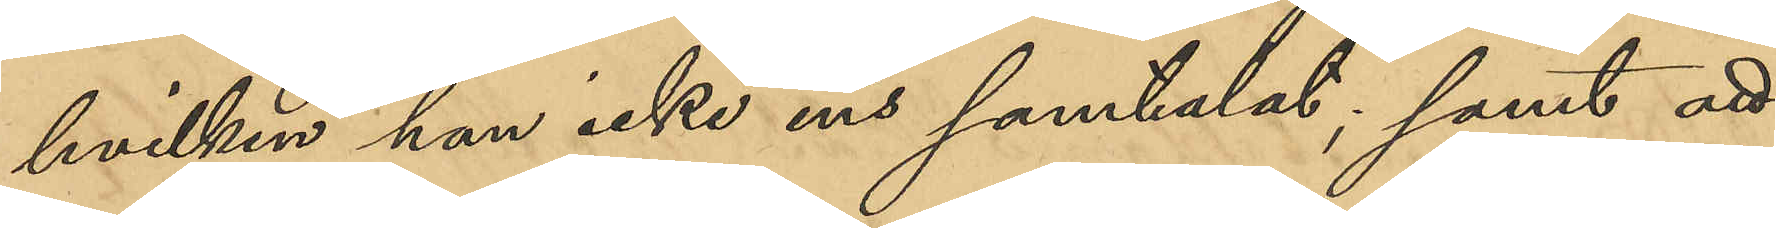hvilken han icke ens samtalat; samt att
